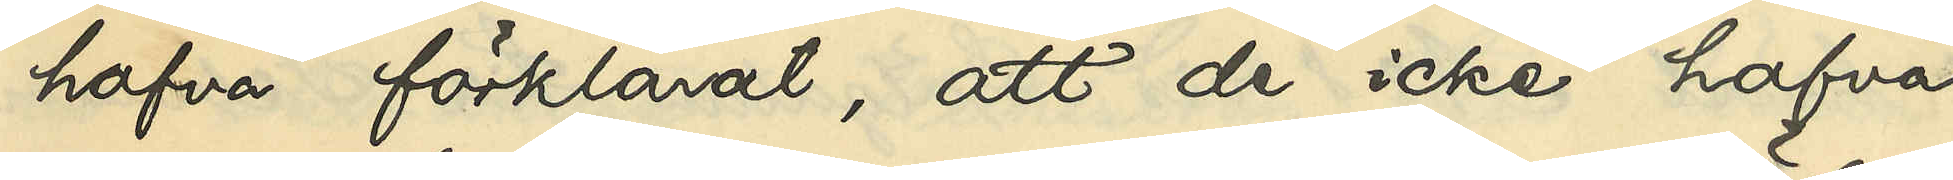hafva förklarat, att de icke hafva
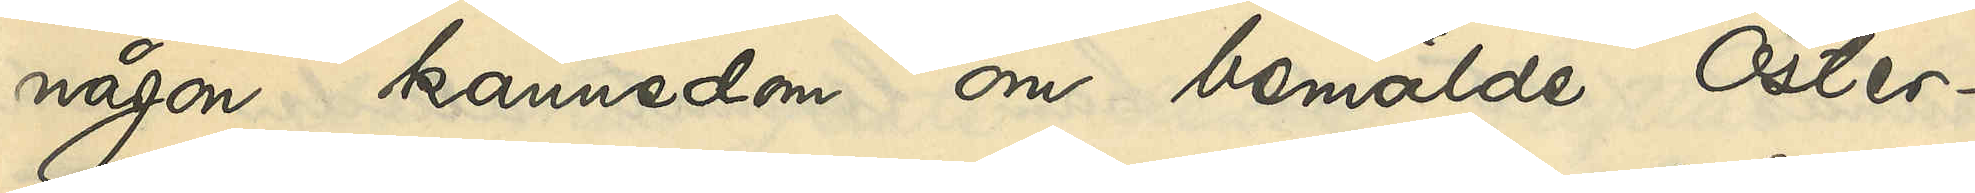någon kännedom om bemälde Öster¬
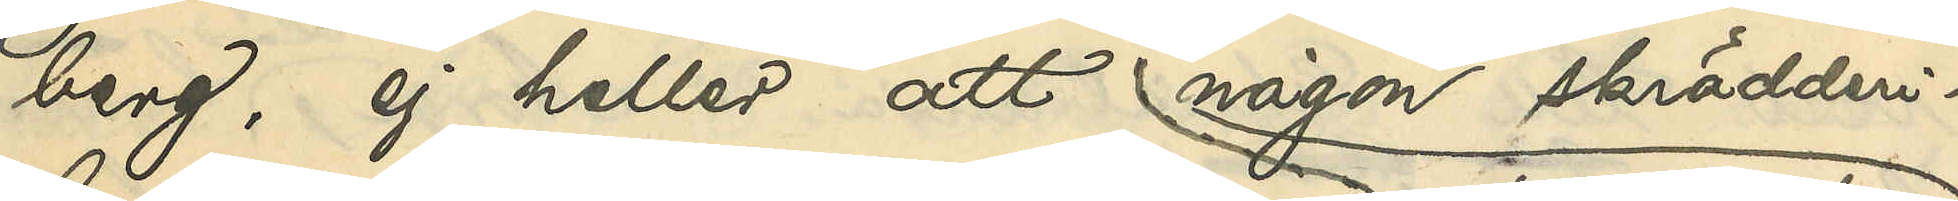berg, ej heller att någon skrädderi¬
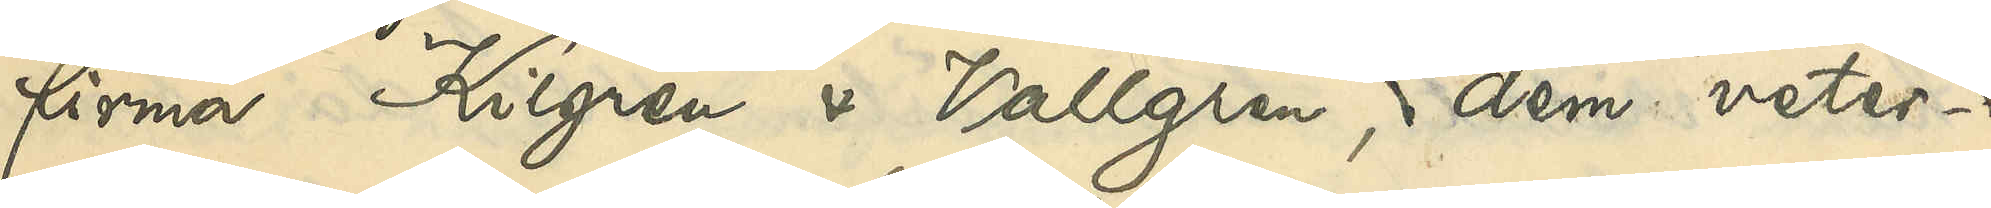firma Kilgren & Vallgren, dem veter¬
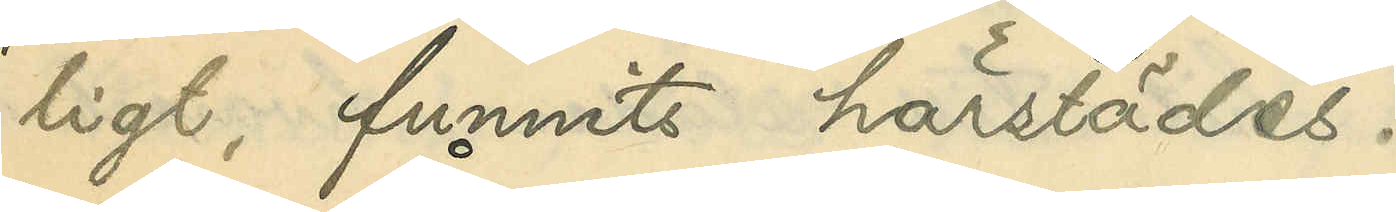ligt funnits härstädes.
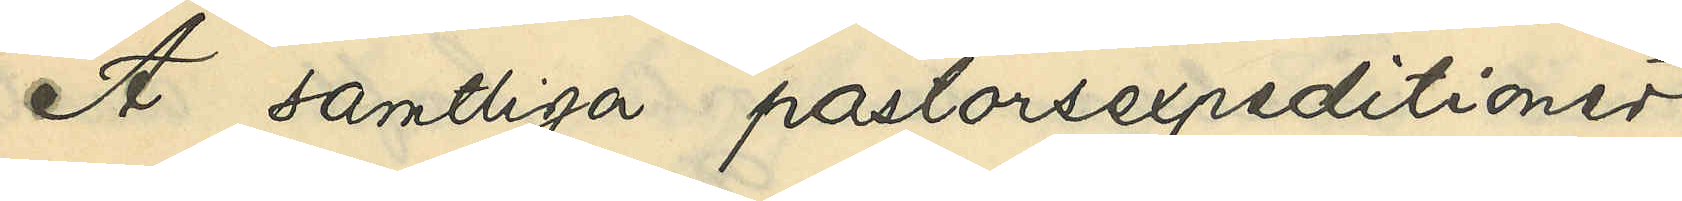Å samtliga pastorsexpeditioner
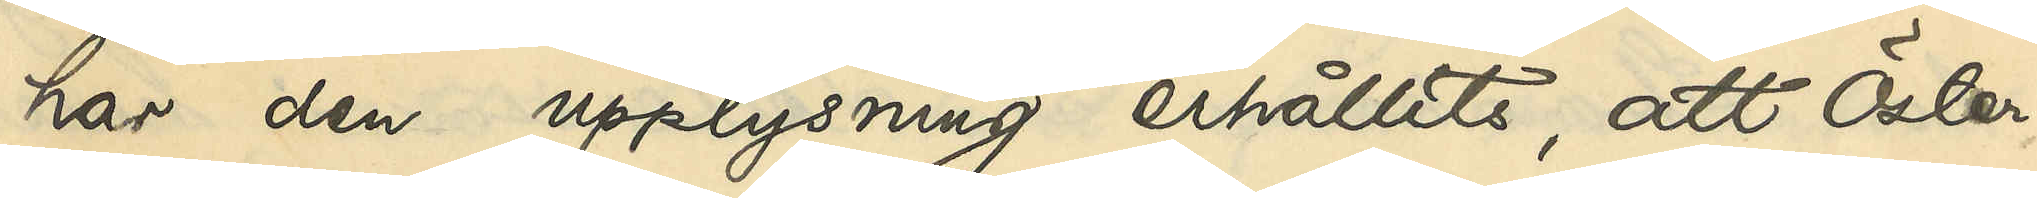har den upplysning erhållits, att Öster¬
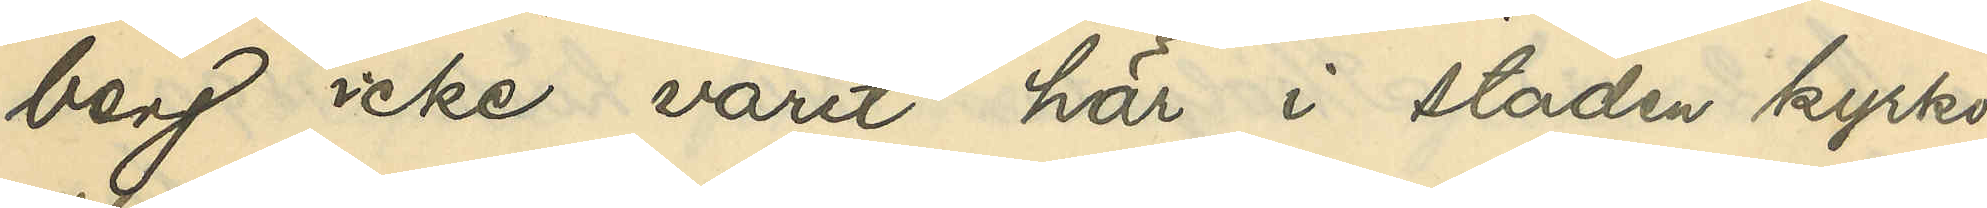berg icke varit här i staden kyrko¬
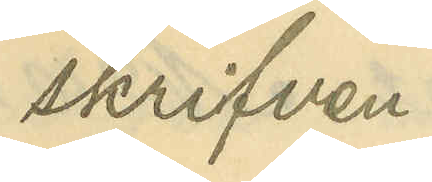skrifven.
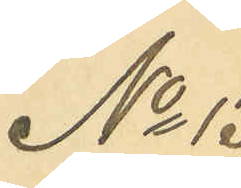No 13
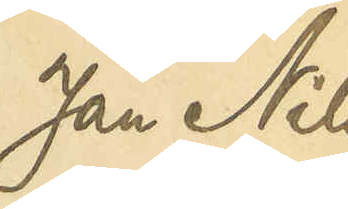Jan Nils¬
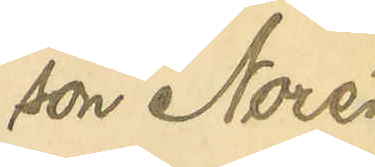son Norén
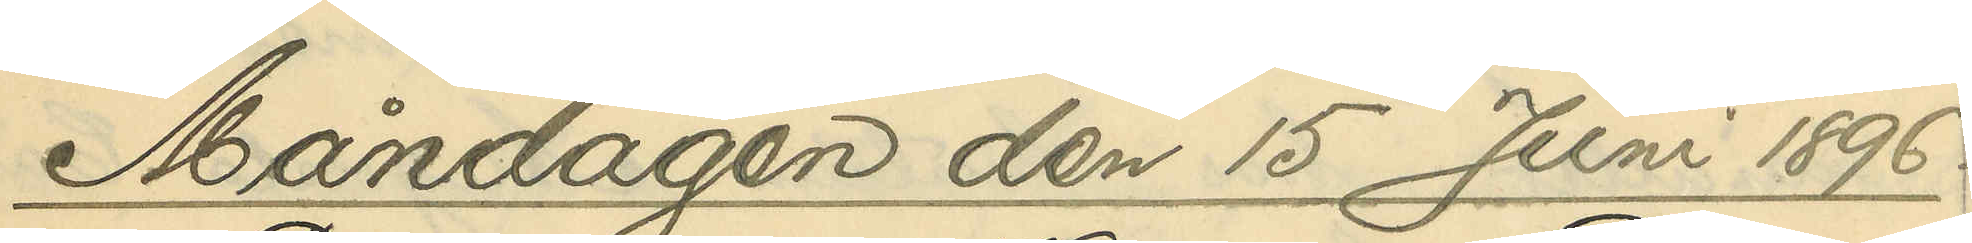Måndagen den 15 Juni 1896.
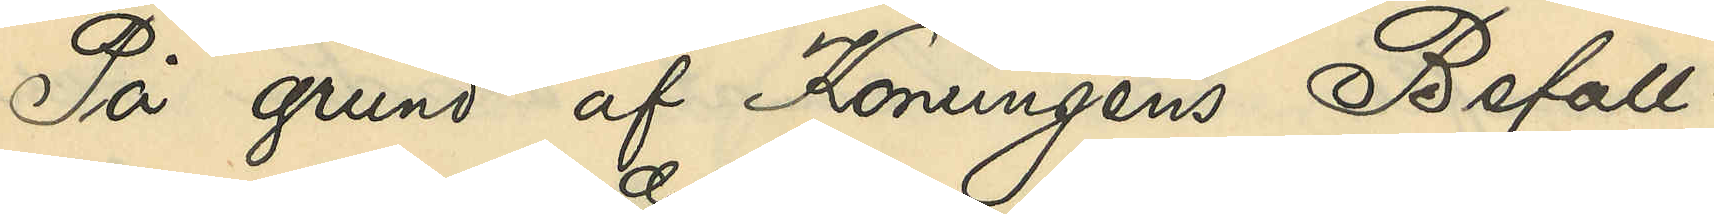På grund af Konungens Befall¬
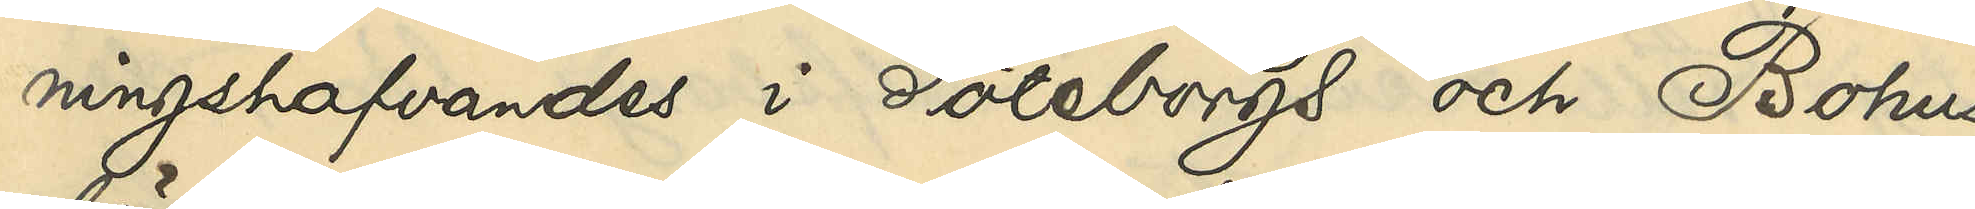ningshafvandes i Göteborgs och Bohus
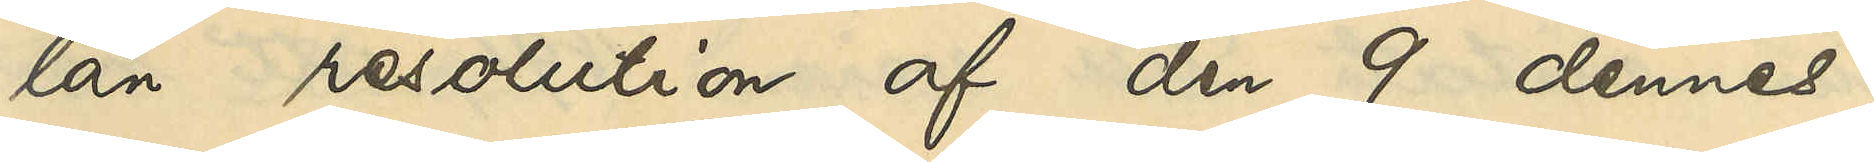län resolution af den 9 dennes,
